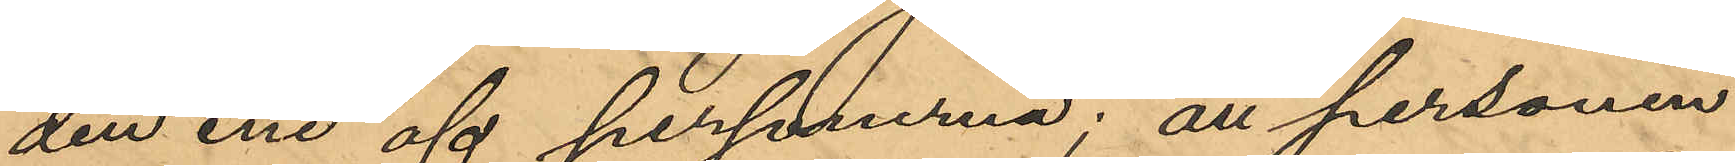den ene af personerna; att personen
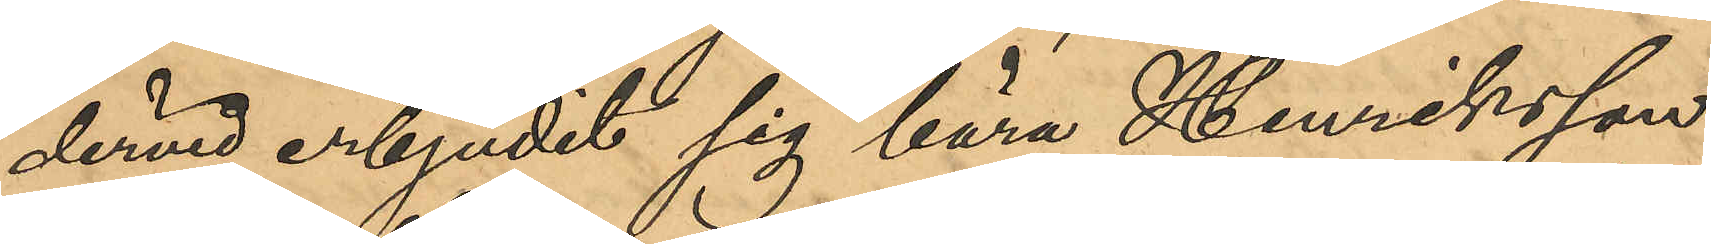dervid erbjudit sig bära Henriksson
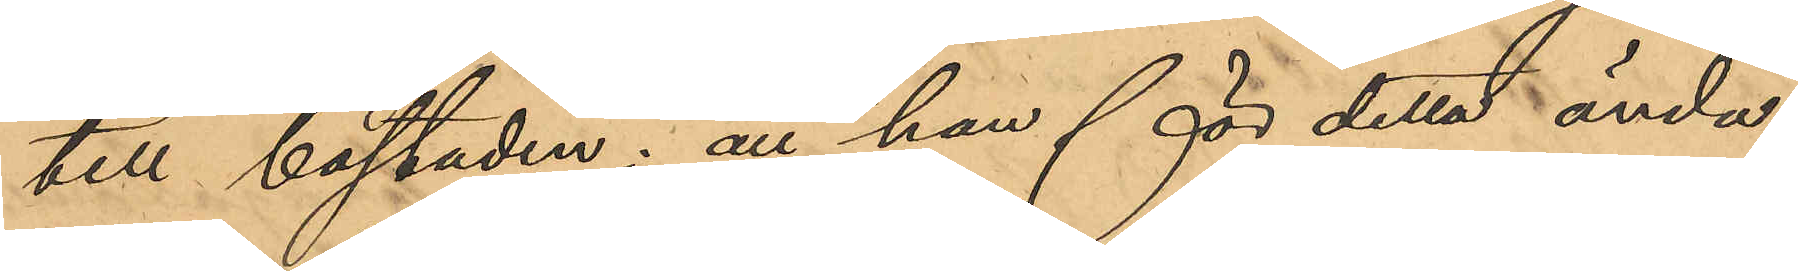till bostaden; att han för detta ända¬
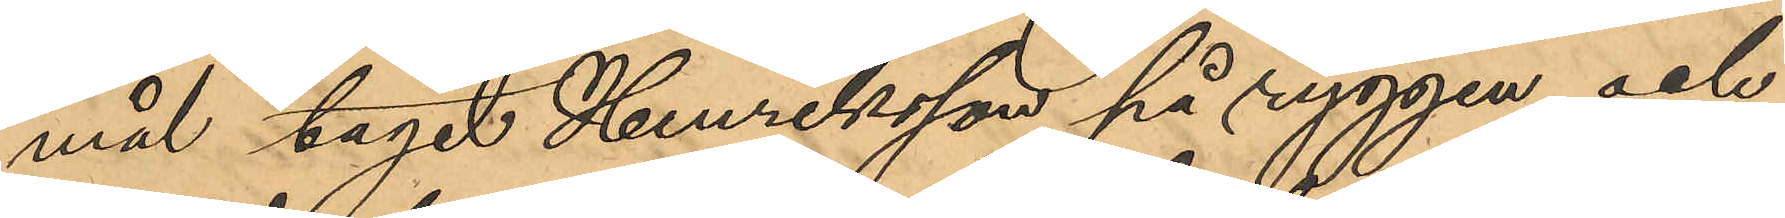mål tagit Henriksson på ryggen och
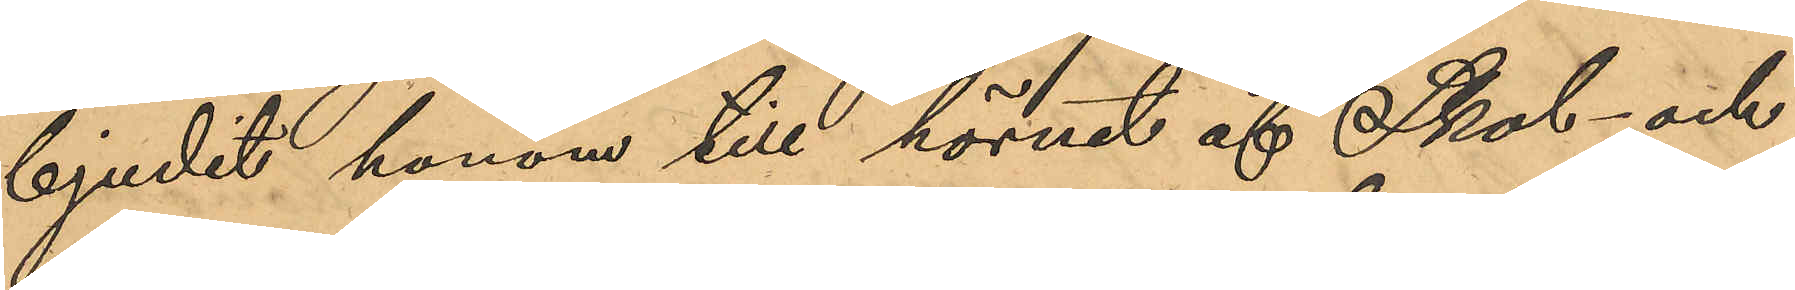bjudit honom till hörnet af Skol- och
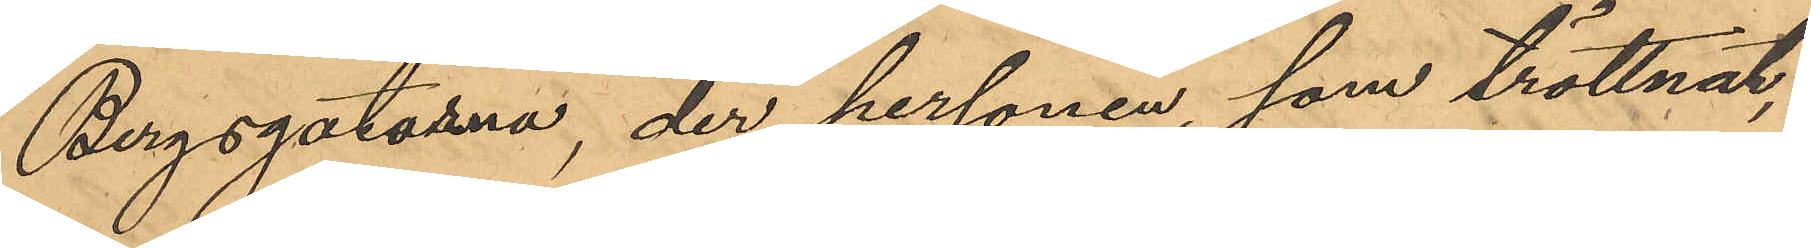Bergsgatorna, der personen, som tröttnat,
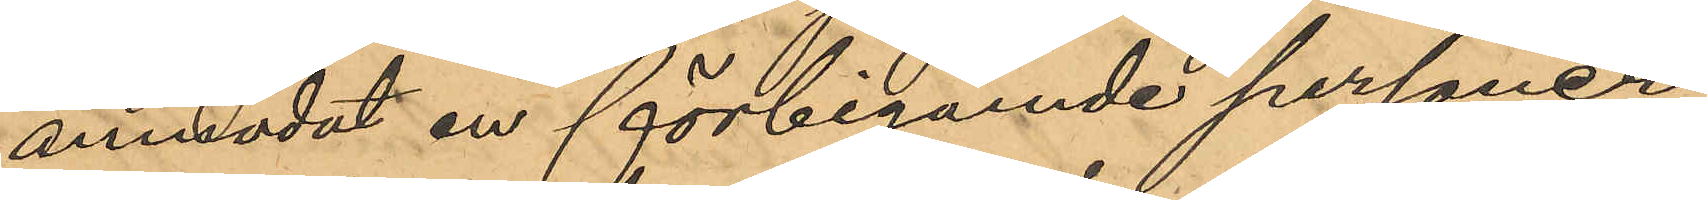anmodat en förbigående personer
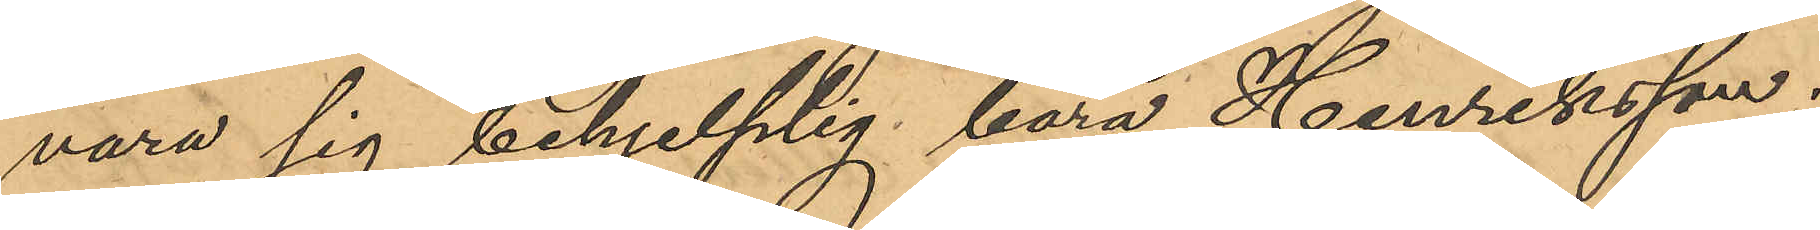vara sig behjelplig bära Henriksson;
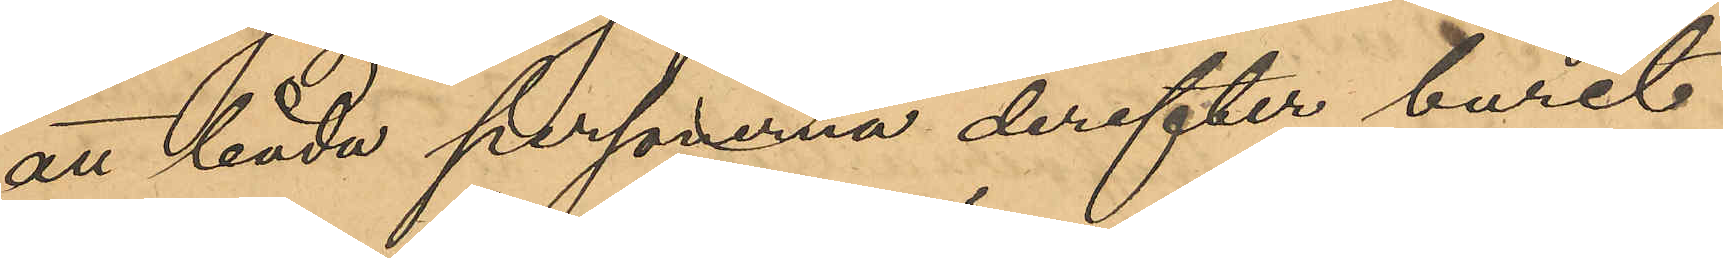att båda personerna derefter burit
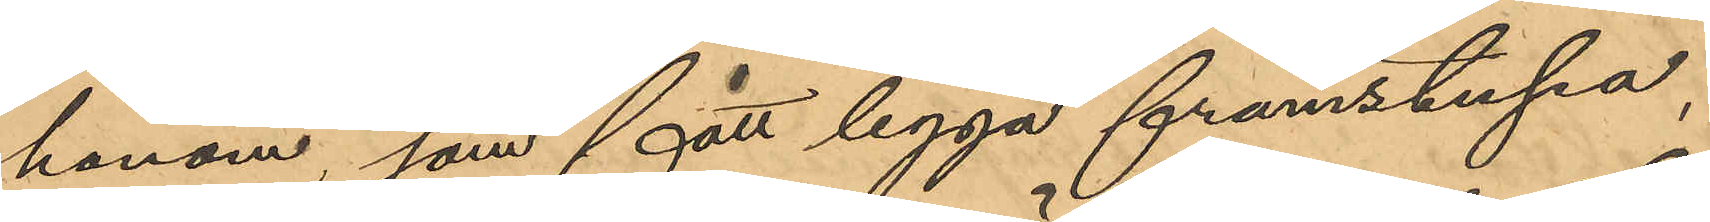honom, som fått ligga framstupa,
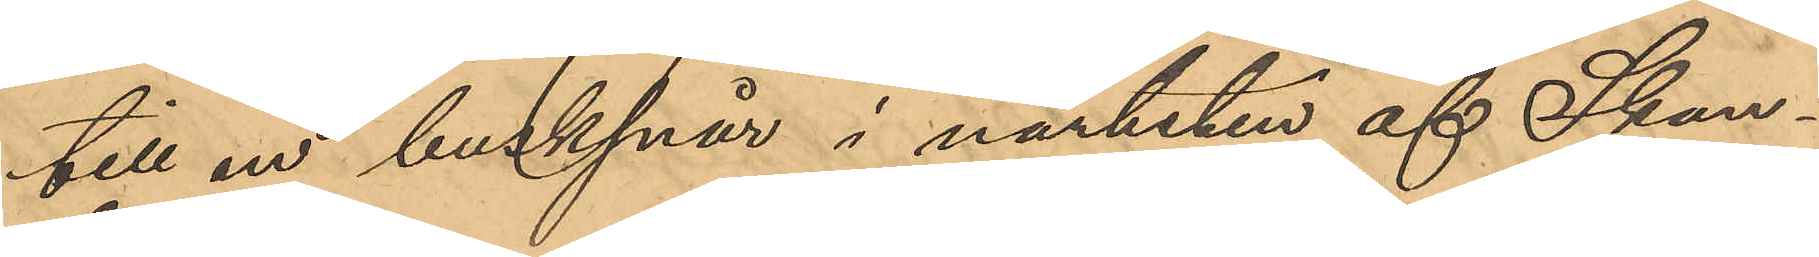till en busksnår i närheten af Skan¬
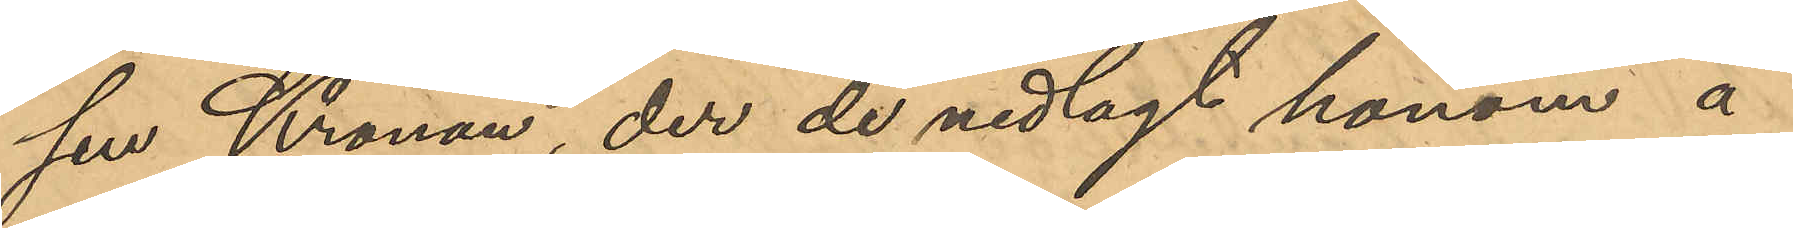sen Kronan, der de nedlagt honom å
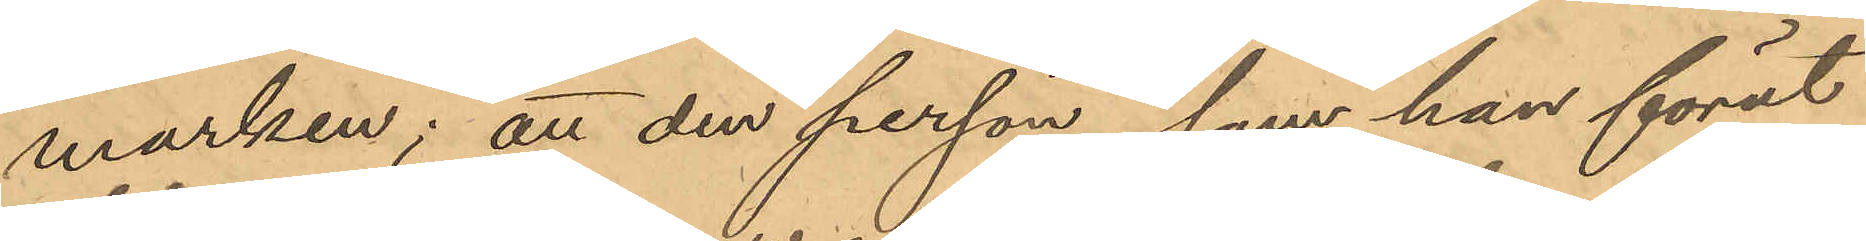marken; att den person, som han förut
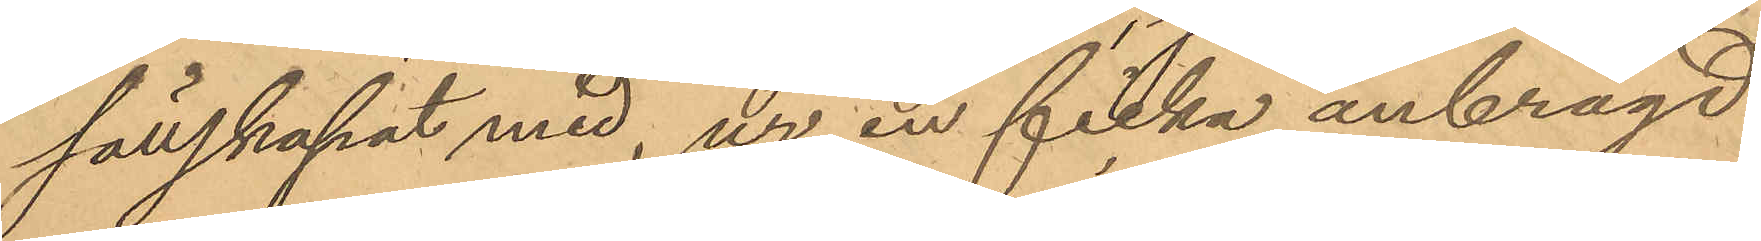sällskapat med, ur en ficka anbragd
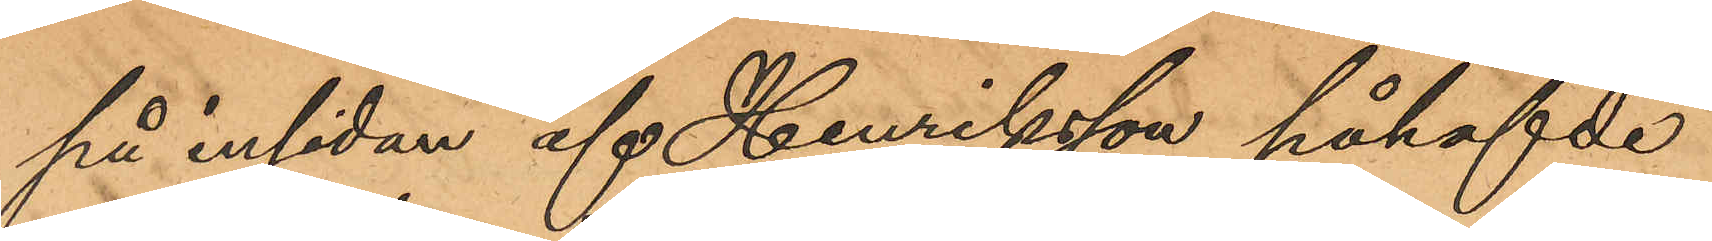på insidan af Henriksson påhafvde
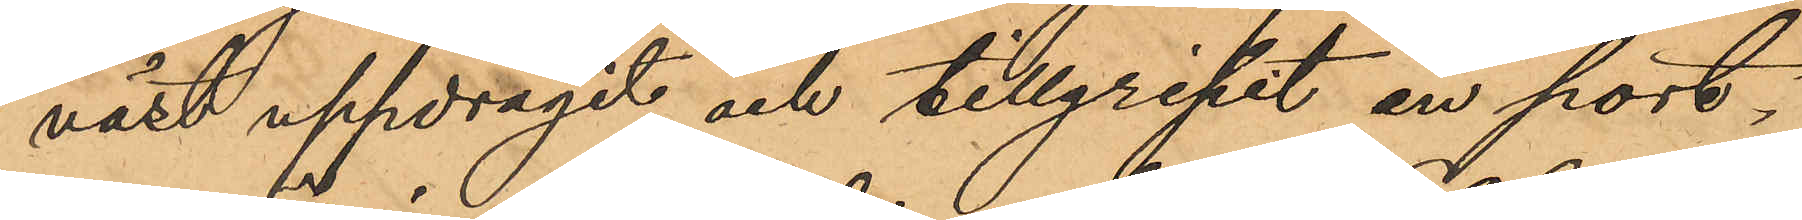väst uppdragit och tillgripit en port¬
